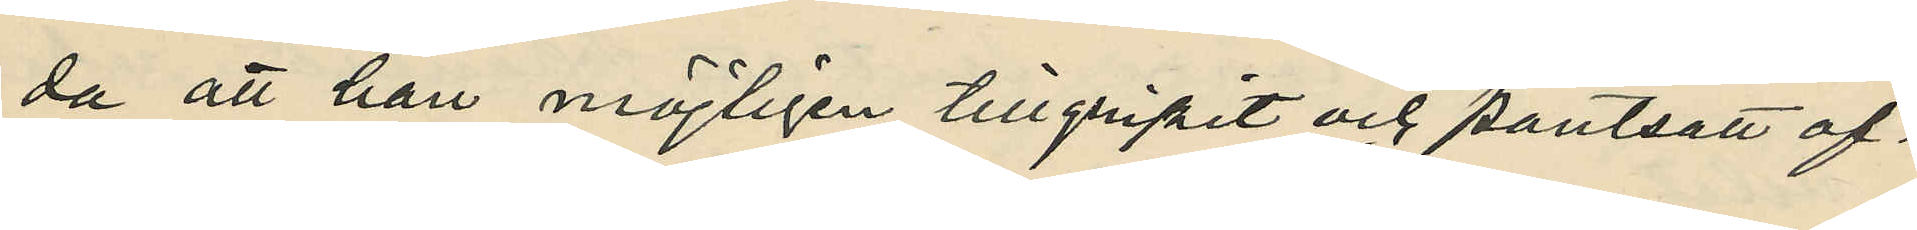da att han möjligen tillgripit och pantsatt of¬
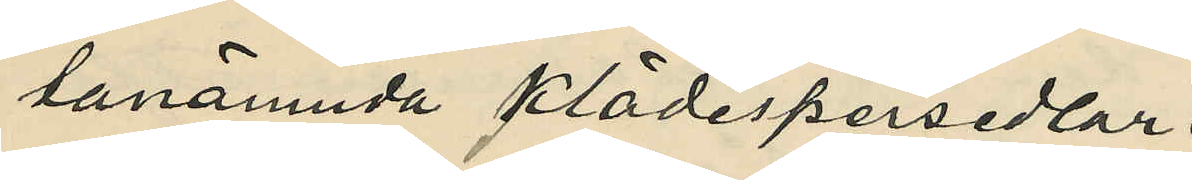tanämnda klädespersedlar.
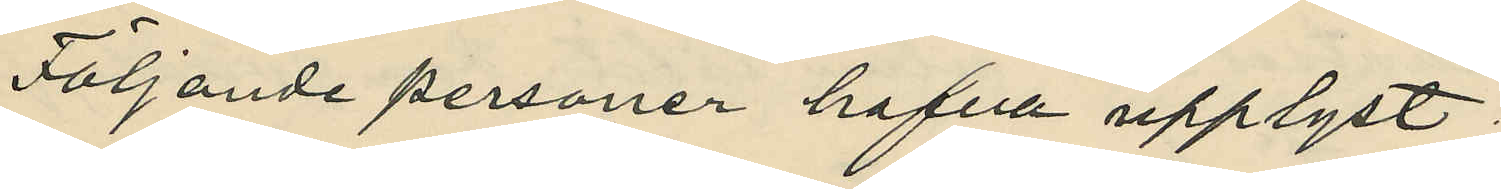Följande personer hafva upplyst:
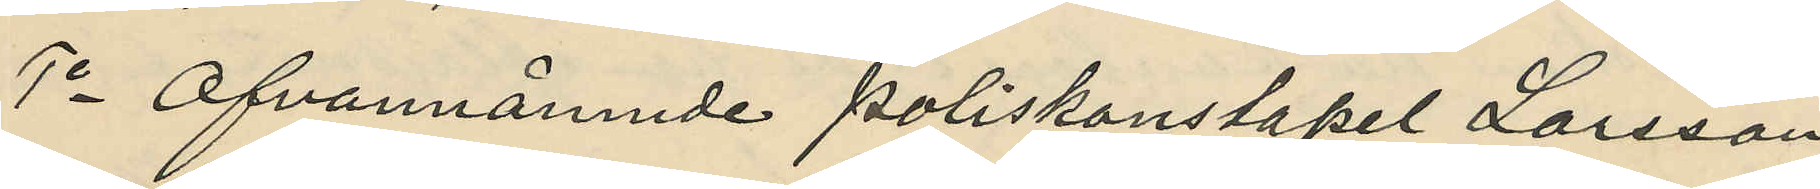1o Ofvannämnde Poliskonstapel Larsson,
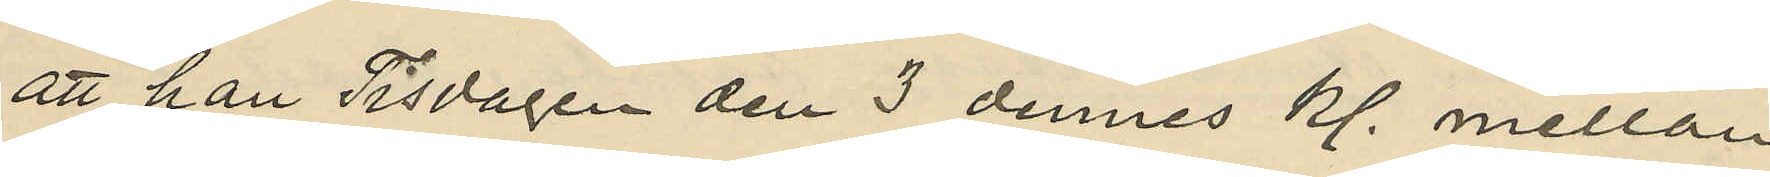att han Tisdagen den 3 dennes kl. mellan
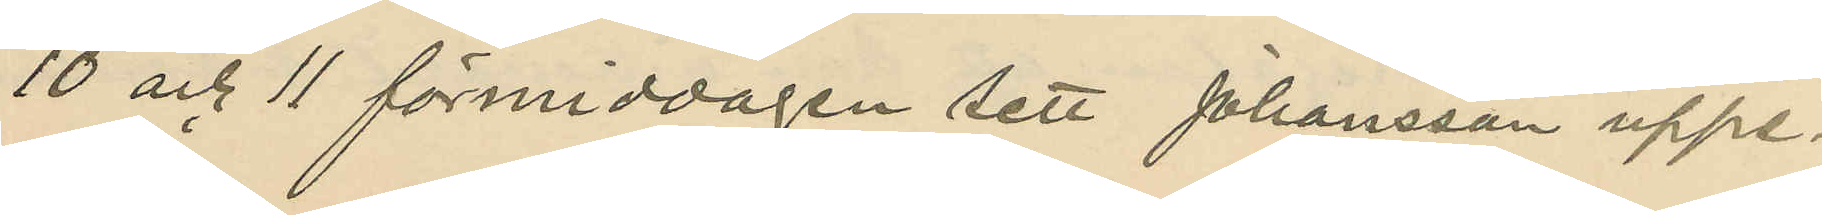10 och 11 förmiddagen sett Johansson uppe-
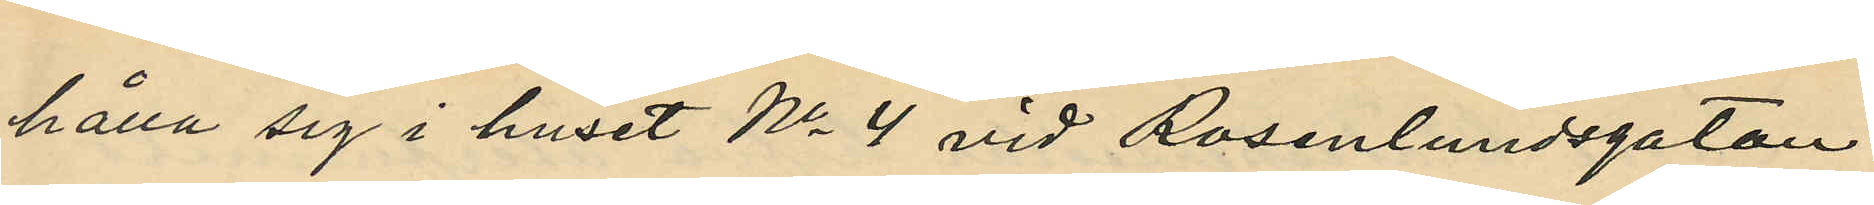hålla sig i huset No 4 vid Rosenlundsgatan 
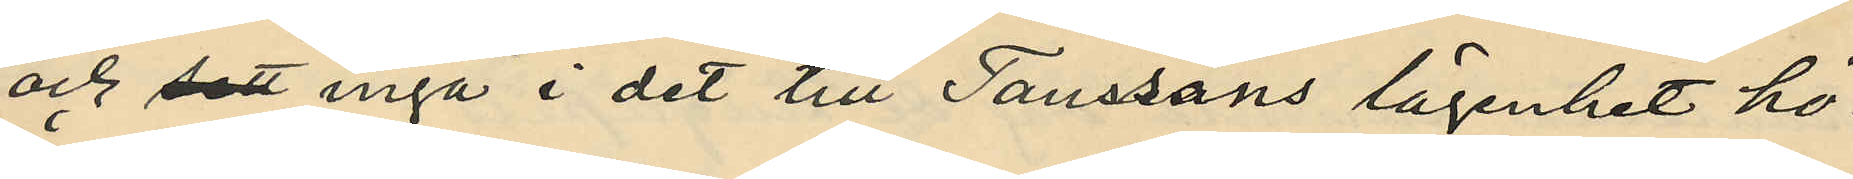och sett ingå i det till Taussons lägenhet hö¬
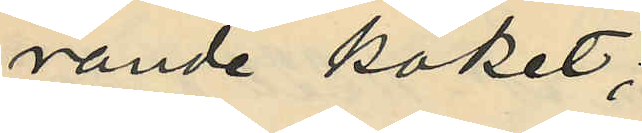rande köket;
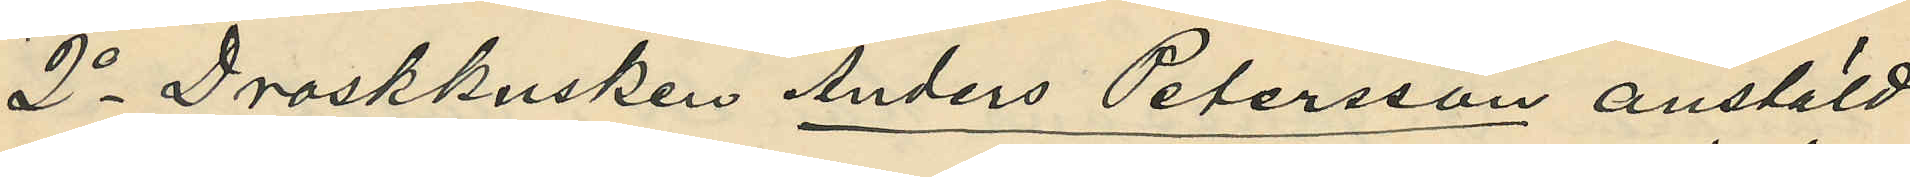2o Droskkusken Anders Petersson anstäld
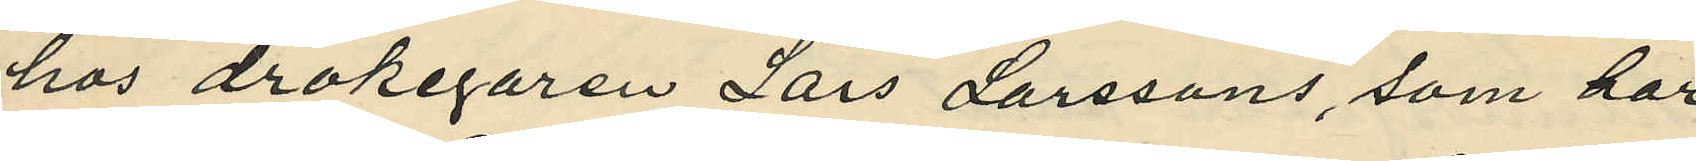hos drokegaren Lars Larssons, som har 
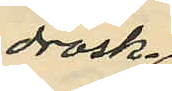drosk¬
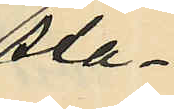sta¬
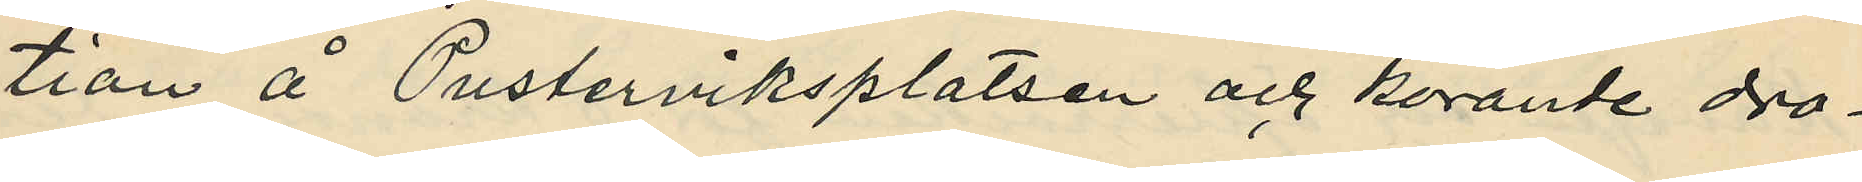tion å Pusterviksplatsen och körande dro¬
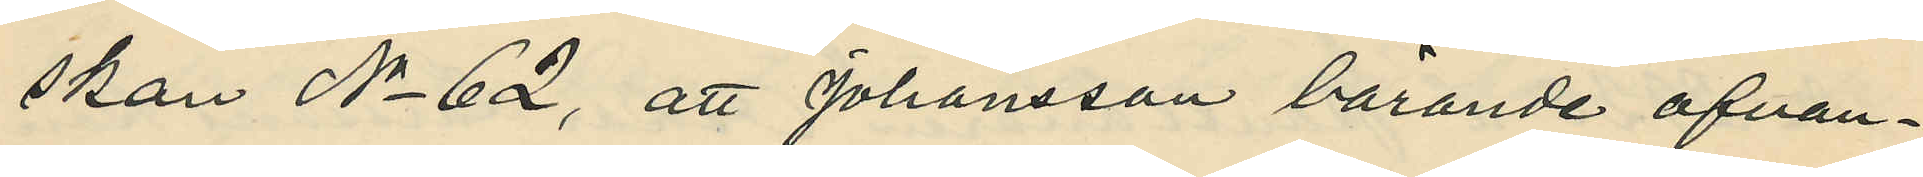skan No 62, att Johansson bärande ofvan¬
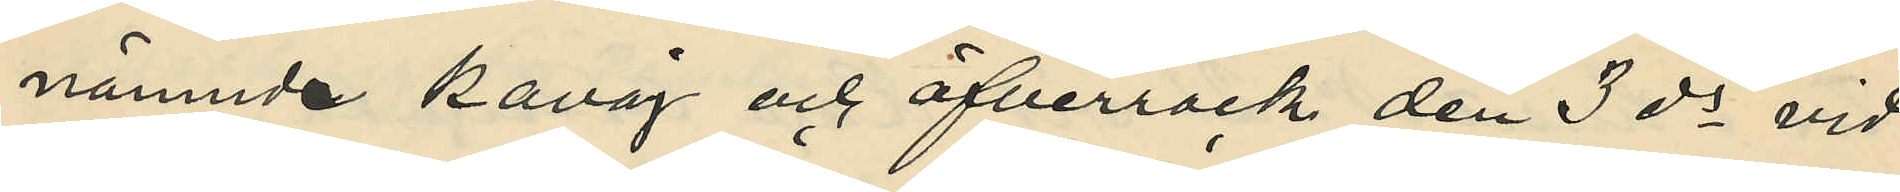nämnda kavaj och öfverrock den 3 ds vid
